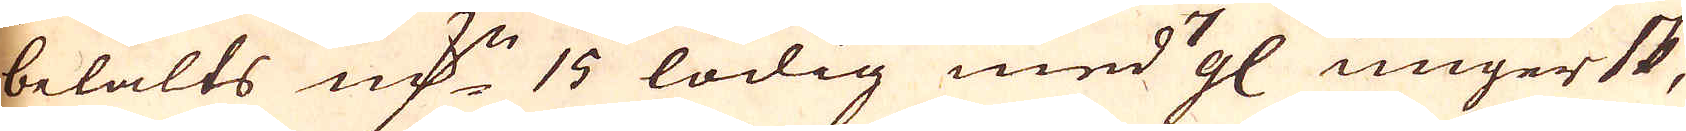betalts marker 15 lödig med 7 gl ungersk,
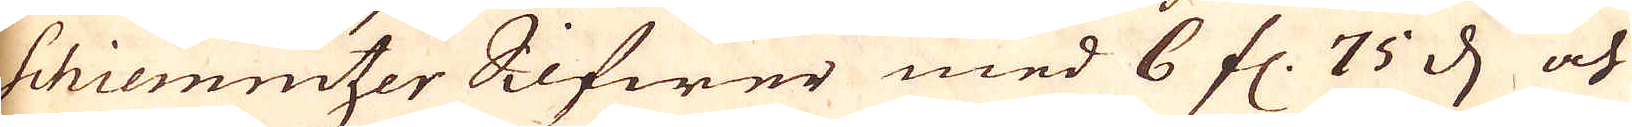Schiemitzer Silfwer med 6 fl. 75 d och
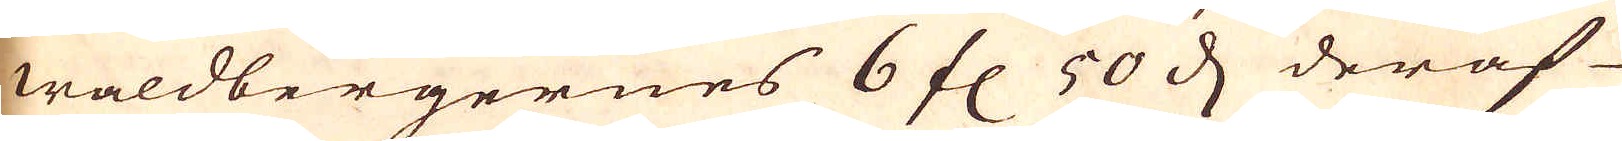waldbergernes 6 fl 50 d deraf
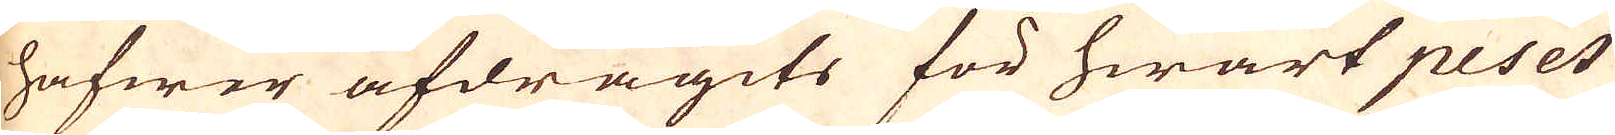hafwer afdragits för hwart peset
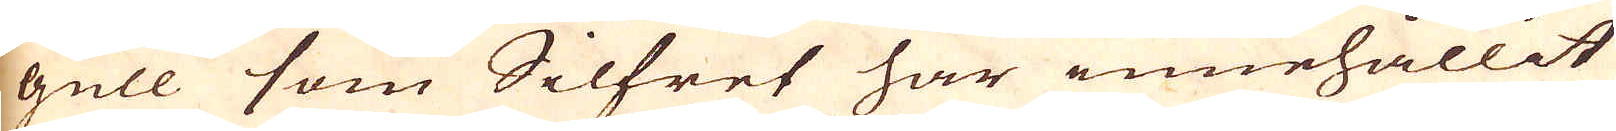gull som Silfret har innehållit
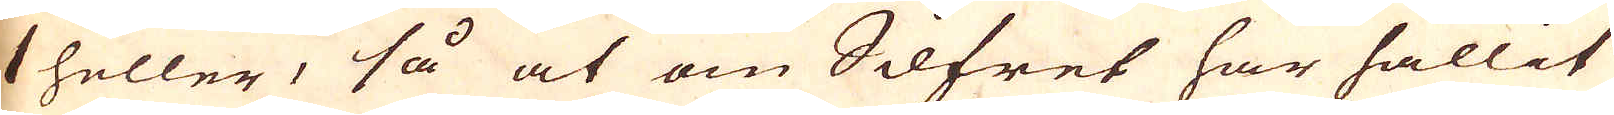1 heller, så at om Silfret har hållit
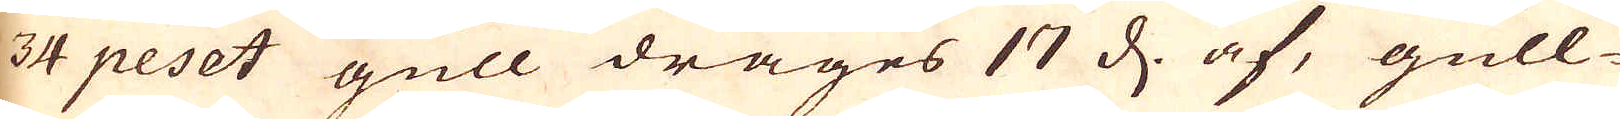34 peset gull drages 17 d. af, gull-
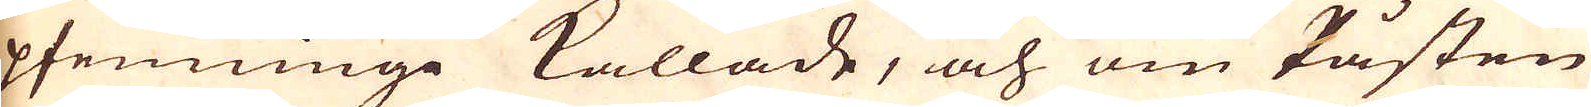pfenninge kallade, och om Påsten
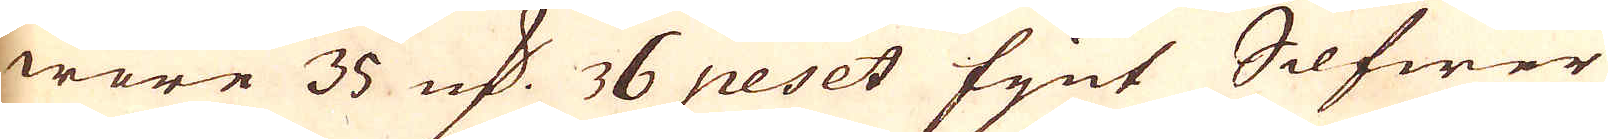wore 35 marker 76 peset fijnt Silfwer
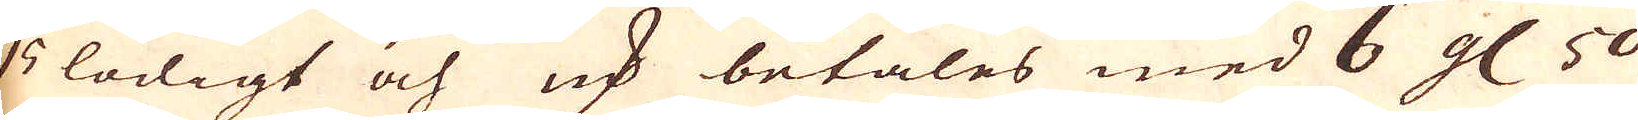15 lödigt och marker betales med 6 gl 50
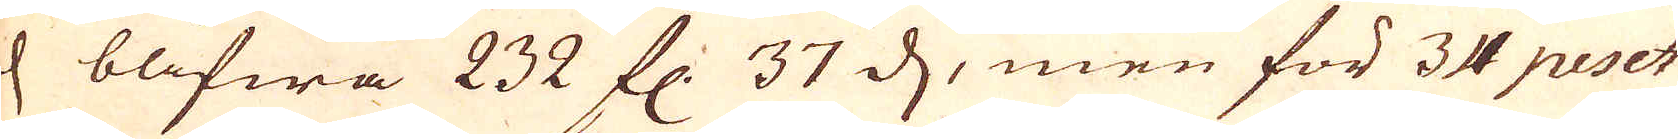d blifwa 232 fl: 37 d, men för 34 peset
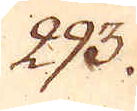293.
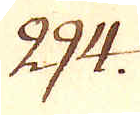294.
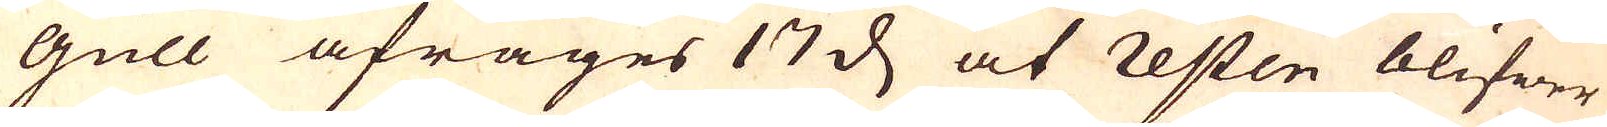gull afrages 17 d at Resten blifwer
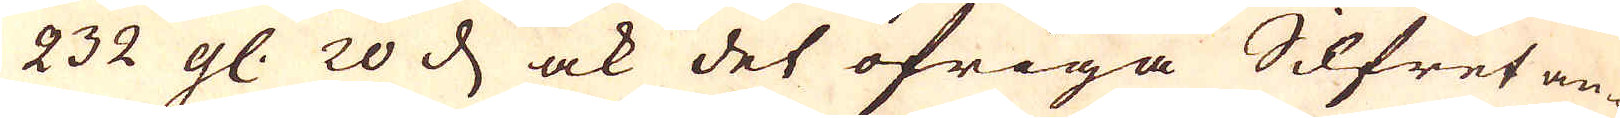232 gl. 20 d, ock det öfriga Silfret an-
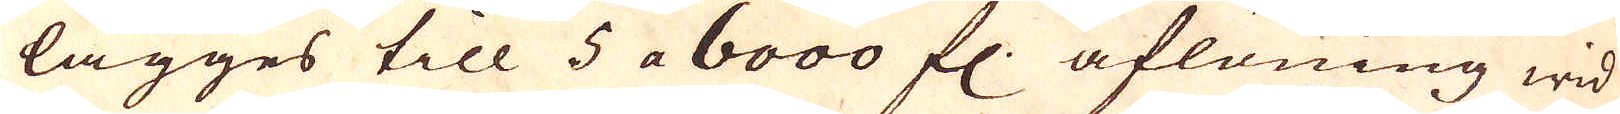lägges till 5 a 6000 fl:. aflöning wid
